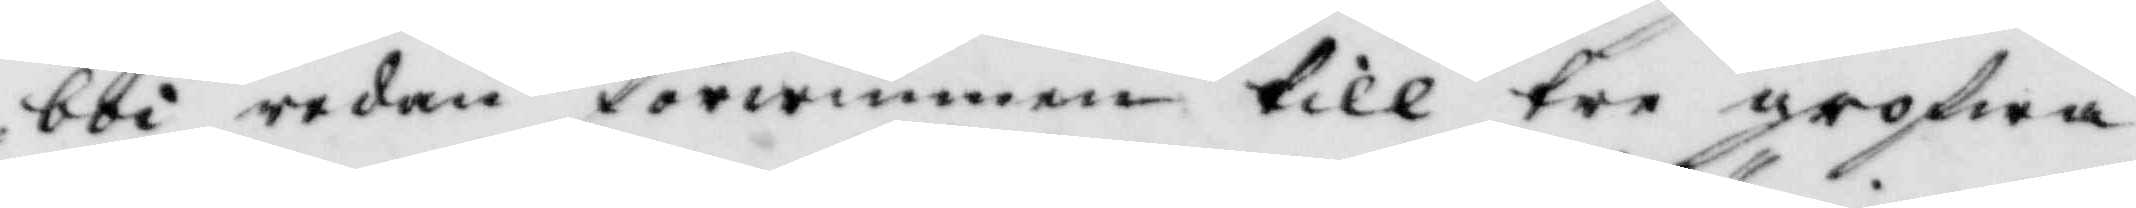boi redan förwunnen till tre grofwa
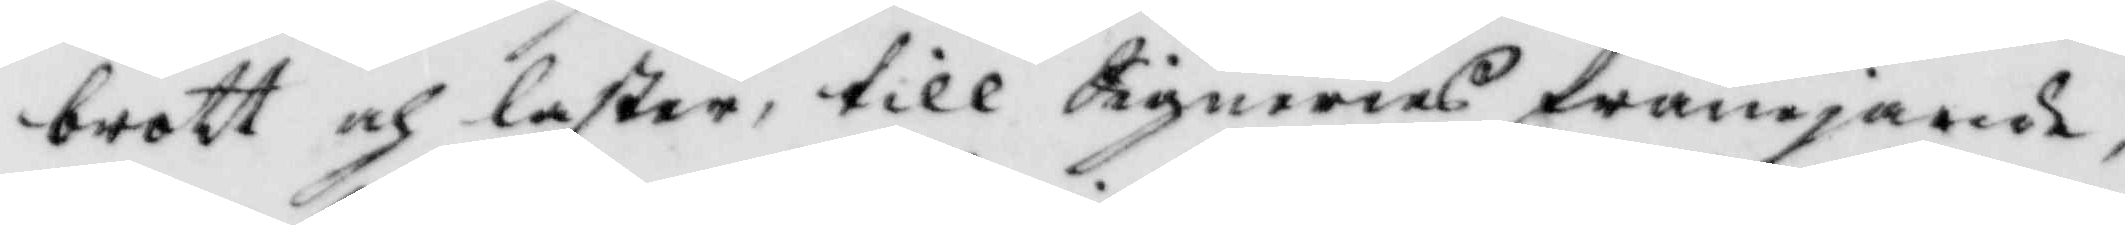brott och laster, till Signeries främjande,
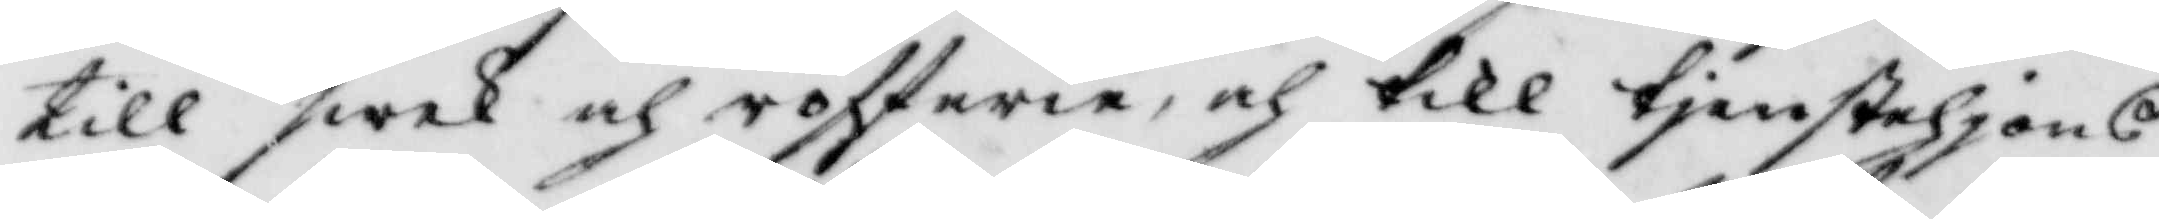till swek och rofferie och till tjenstehjons
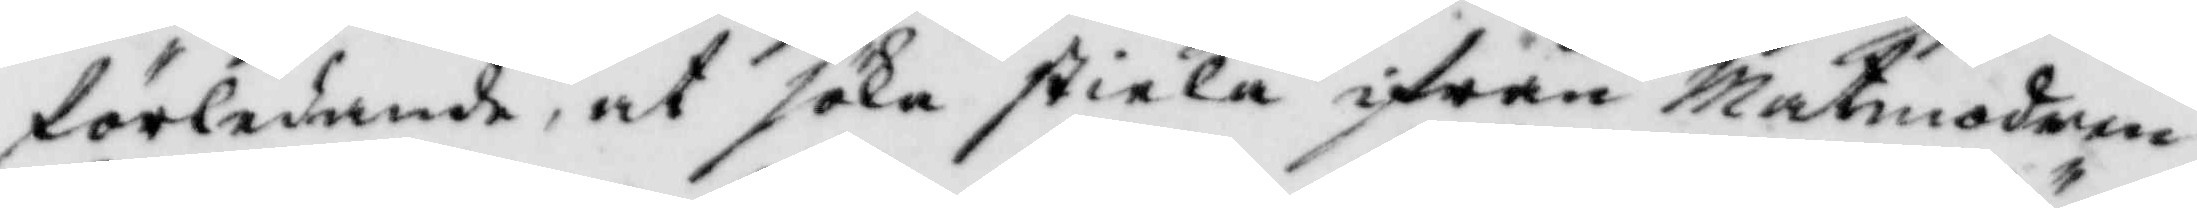förledande, att söka stiela ifrån Matmodern
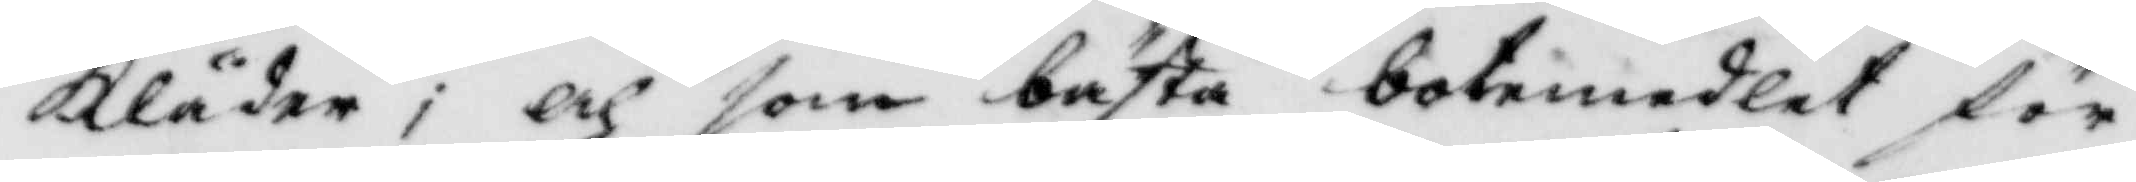Kläder; och som bästa botemedler för
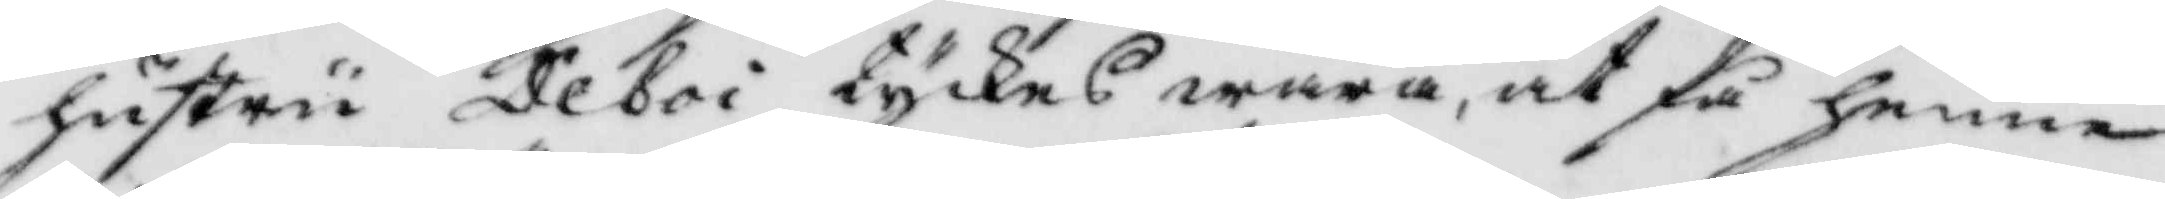hustru Deboi tyckes wara, att få henne
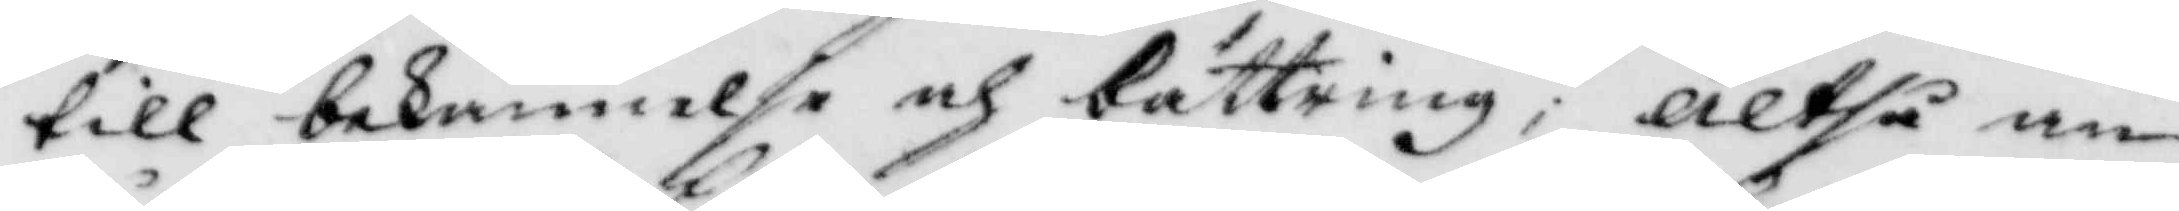till bekännelse och bättring; alltså an¬
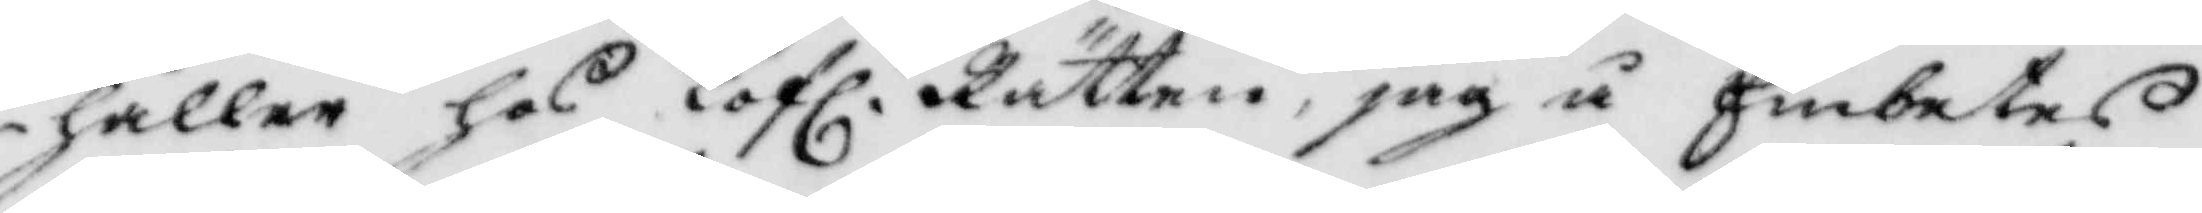håller hos Lofl. Rätten, jag å Embetes
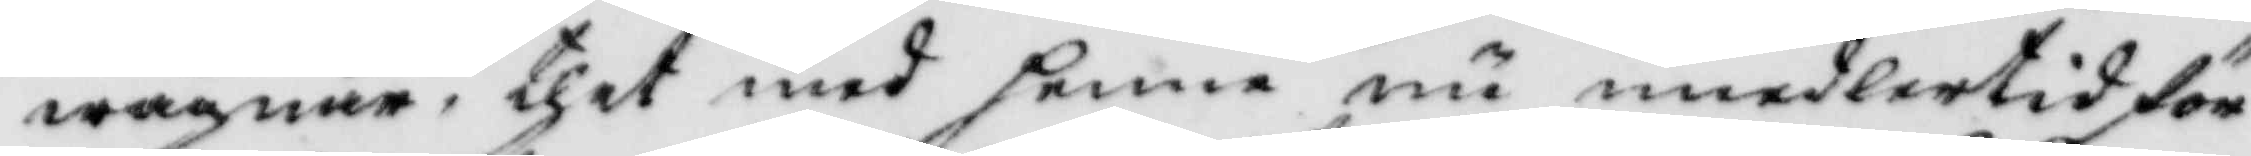wägnar, thet med henne nu imedlertid för¬
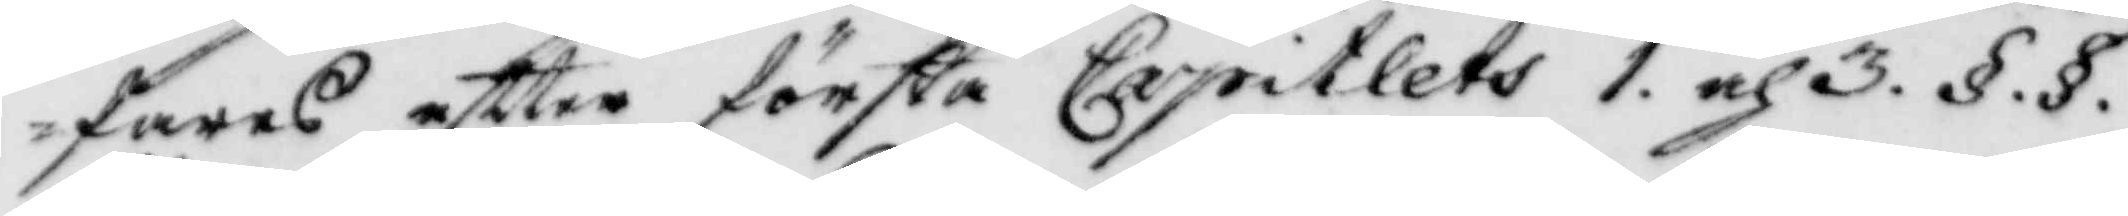faras eftter första Capitlets 1. och 3. §.§.
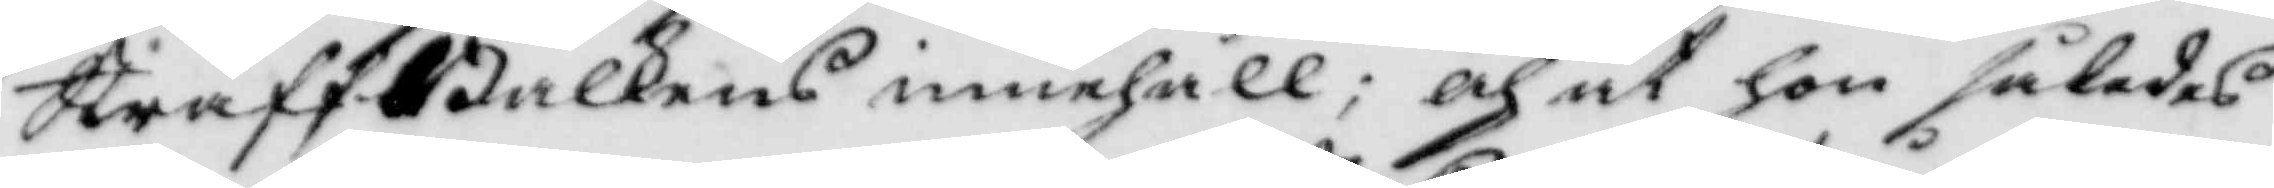StraffBalkens innehåll; och at hon således
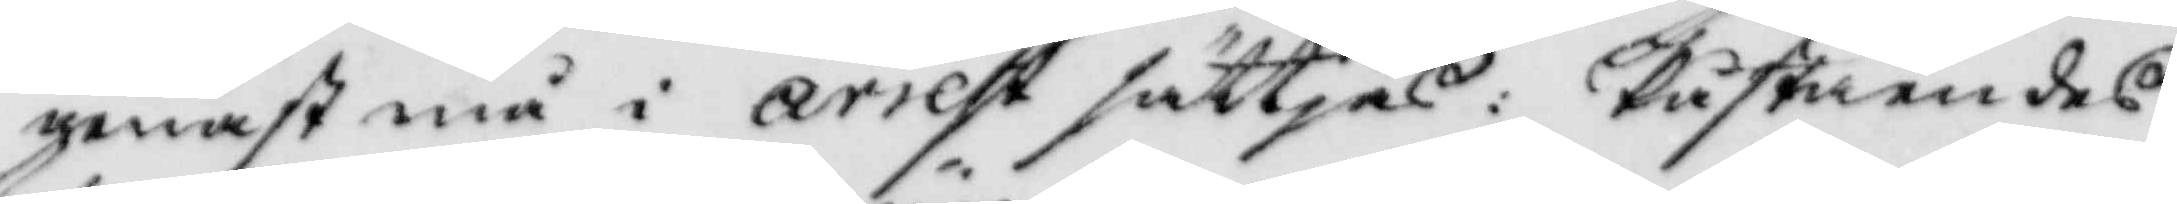genast må i arrest sättjas: påståendes
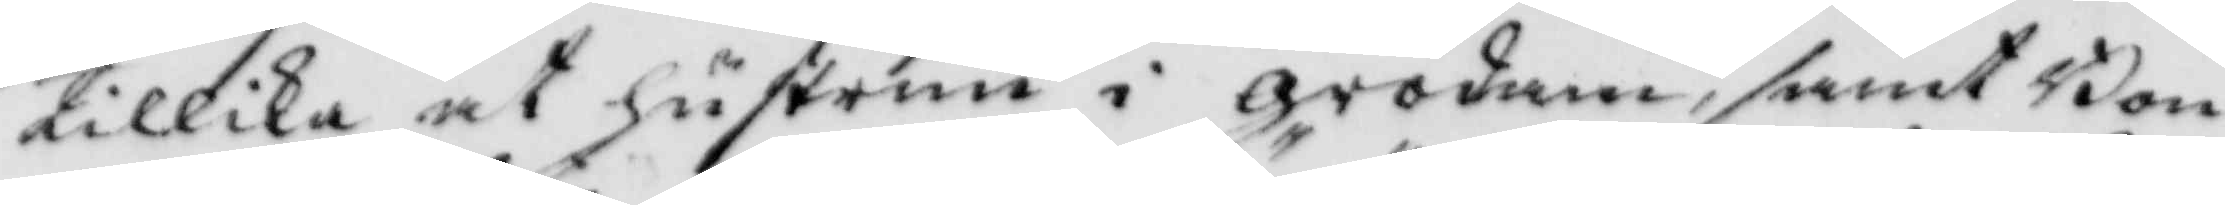tillika at hustrun i grodam, samt Bon¬
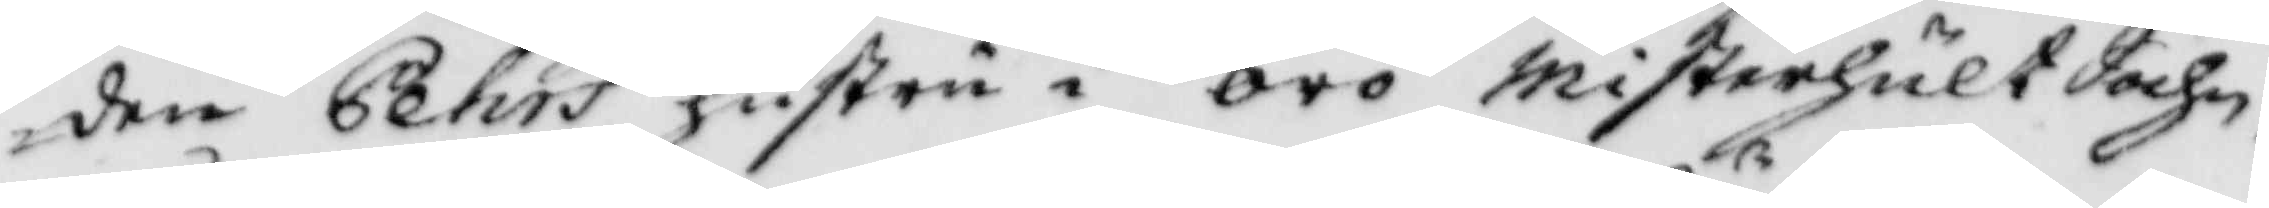den Pehrs hustru i örö Misterhult Sochn,
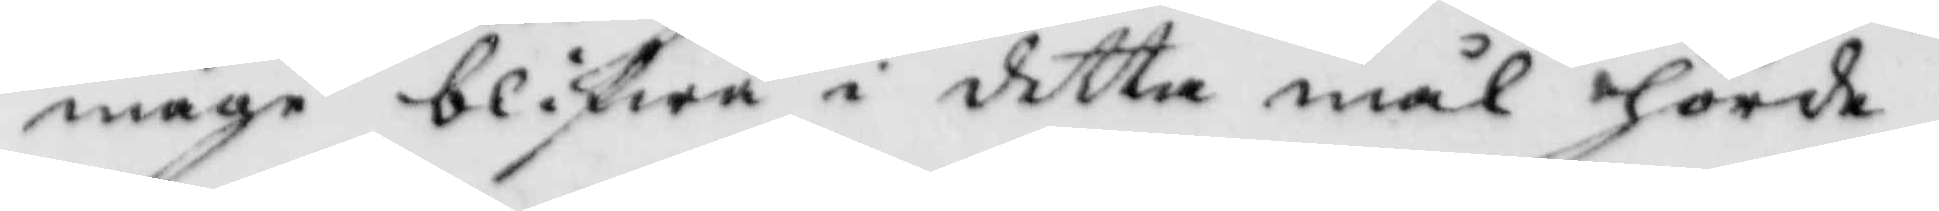måge blifwa i detta mål hörde.
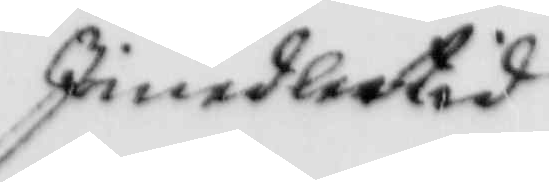Iimedlertid
